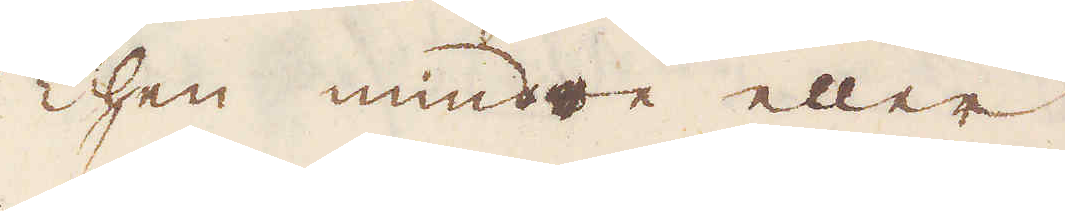Then mindre eller
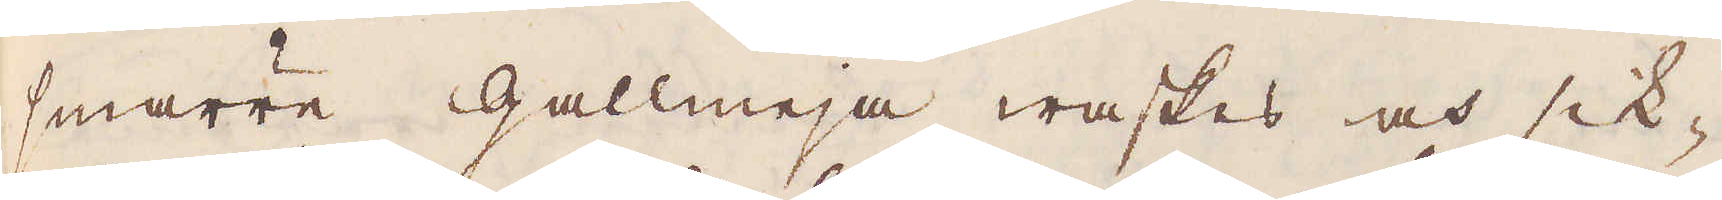smärre gallmeja waskas och sik-
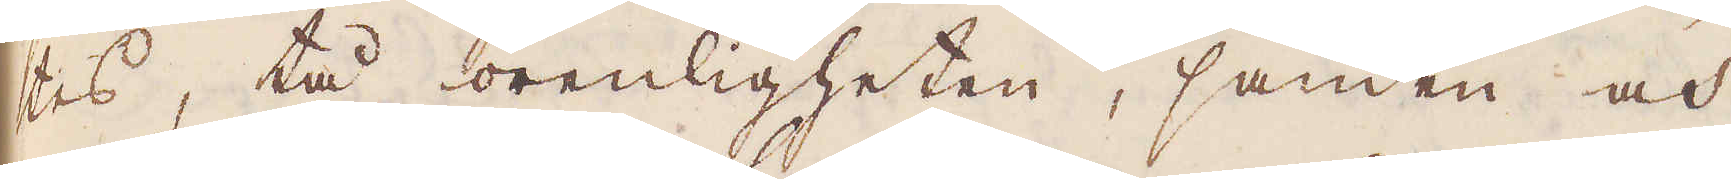tes, tå orenligheten, sanden och
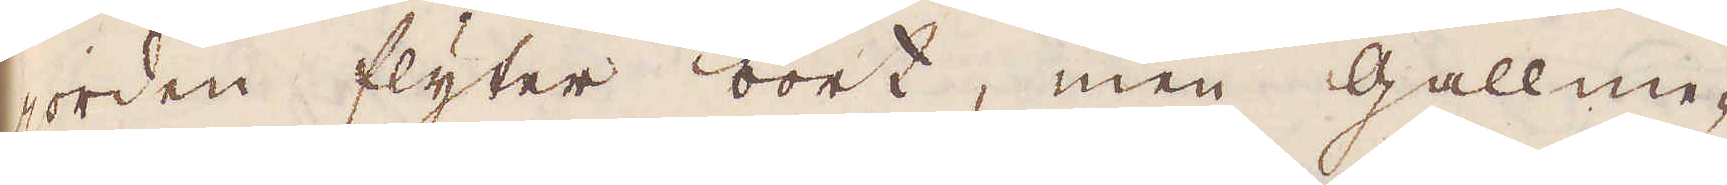jorden flyter bort, men gallme-
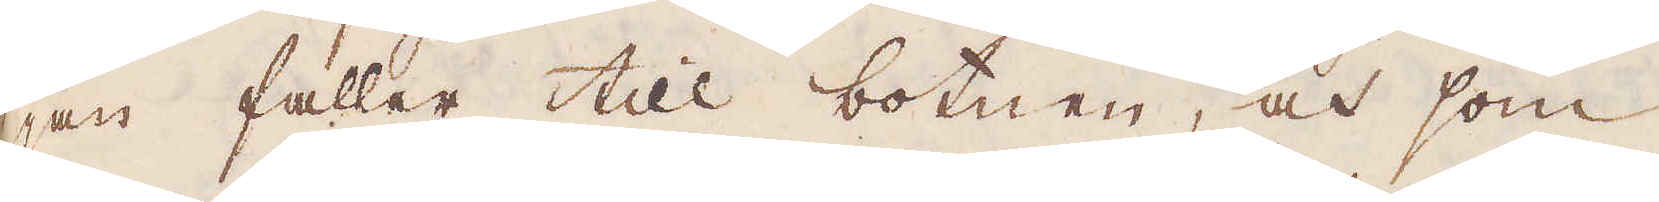jan faller till botnen, och som
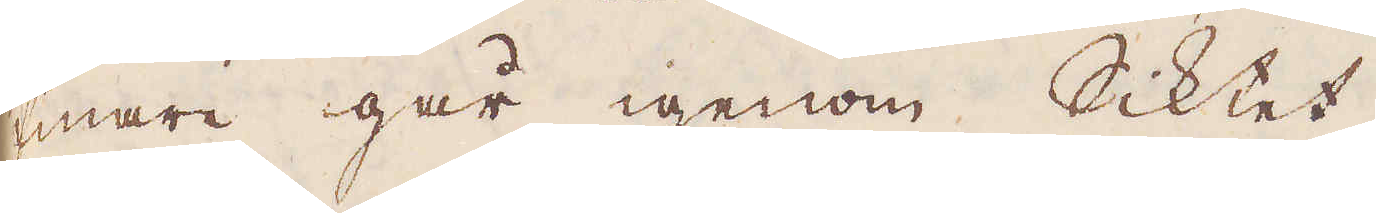finare går igenom Siktet.
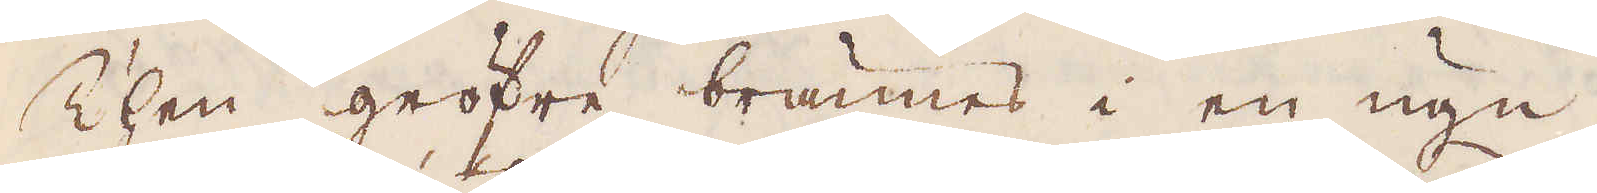Then gröfre brännes i en ugn,
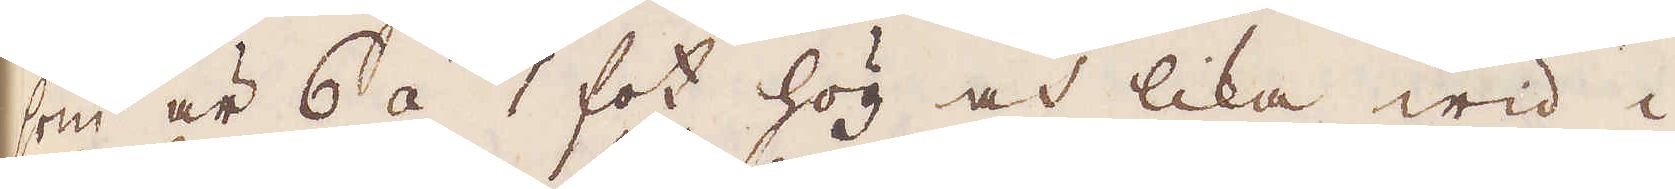som är 6 á 7 fot hög och lika wid i
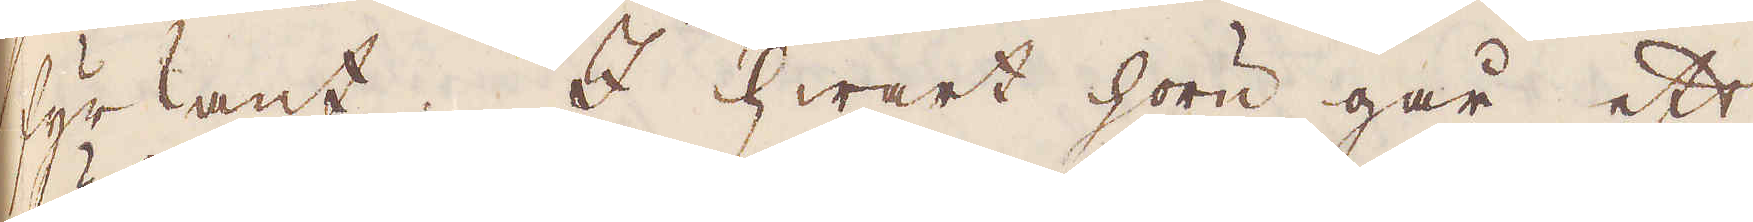fyrkant. I hwart hörn går ett
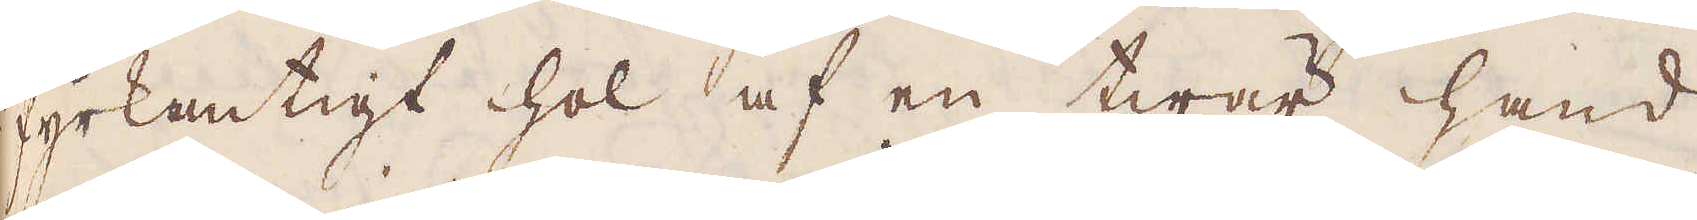fyrkantigt hol af en twär hand
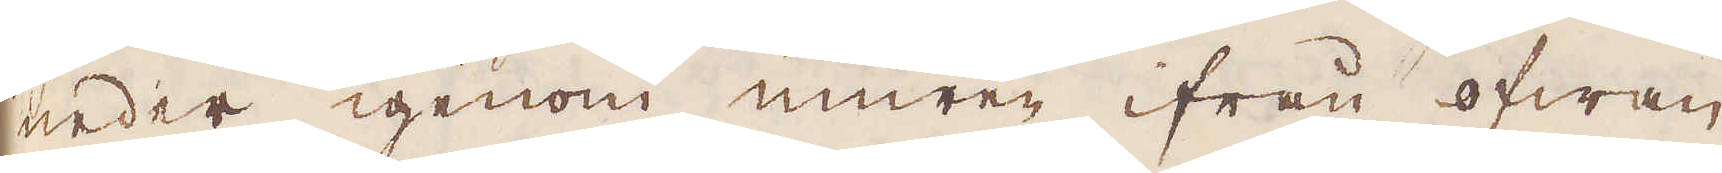neder igenom muren ifrån ofwan
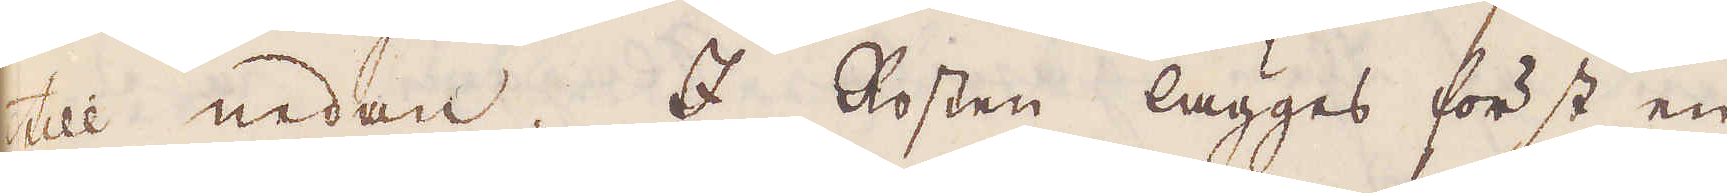till nedan. I Rosten lägges först en
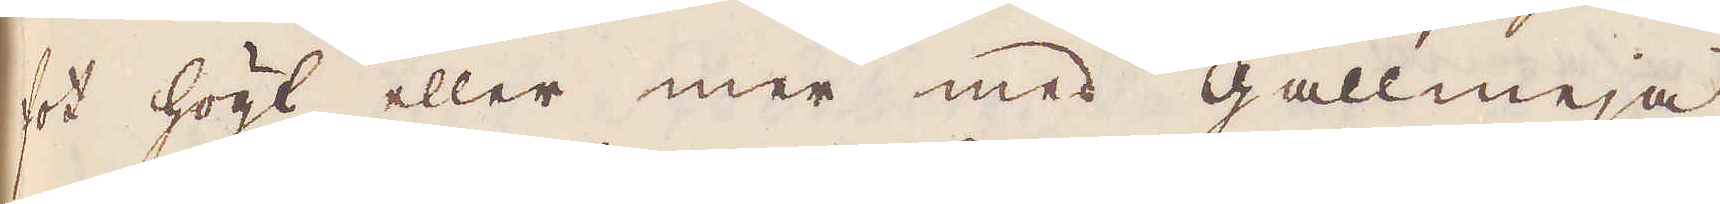fot högt eller mer med gallmeja,
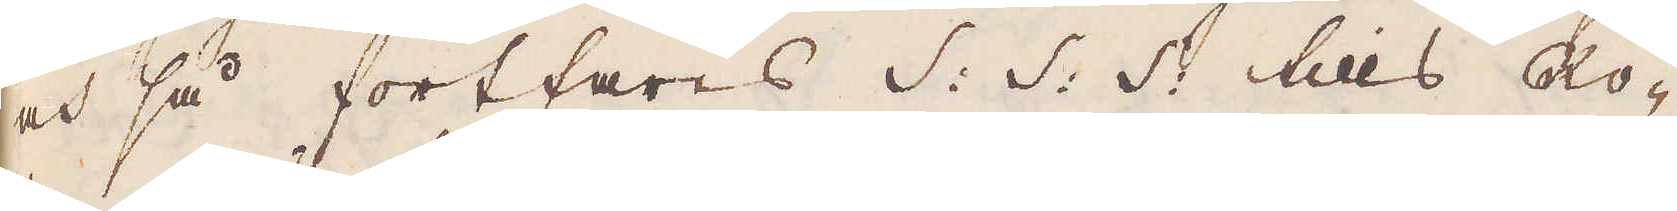och så fortfares S: S: S: tills Ro-
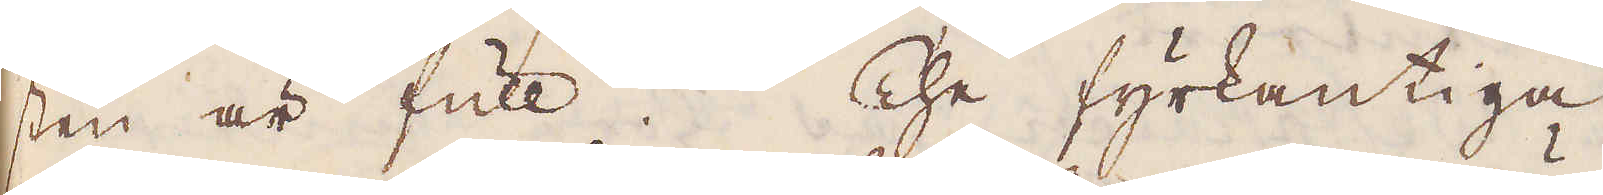sten är full. The fyrkantiga
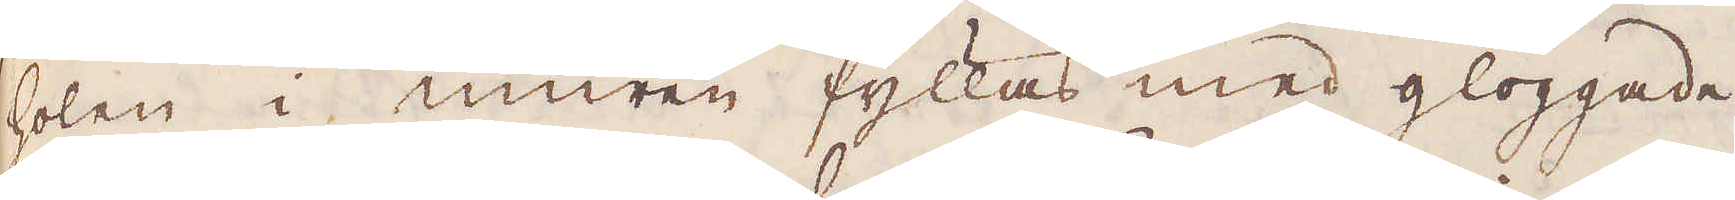holen i muren fyllas med glöggade
